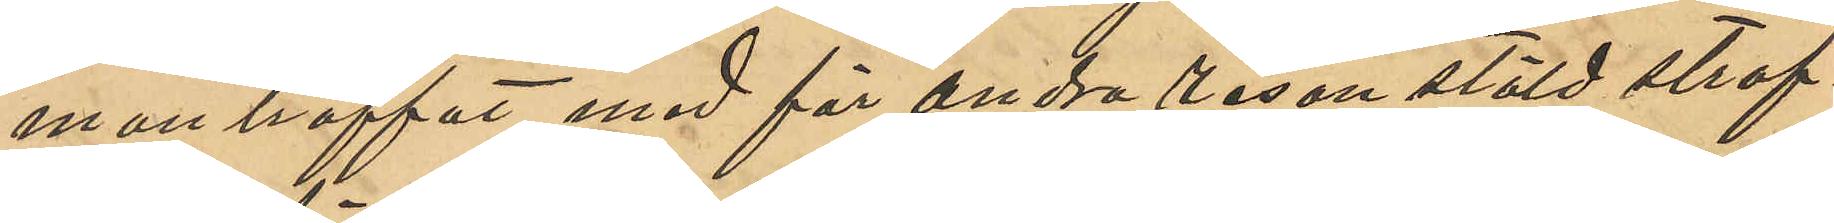manträffat med för andra resan stöld straf¬
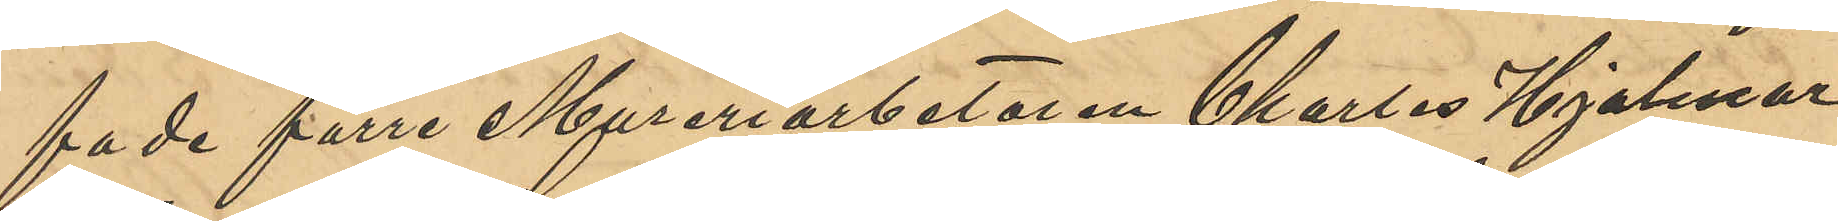fade förre Mureriarbetaren Charles Hjalmar
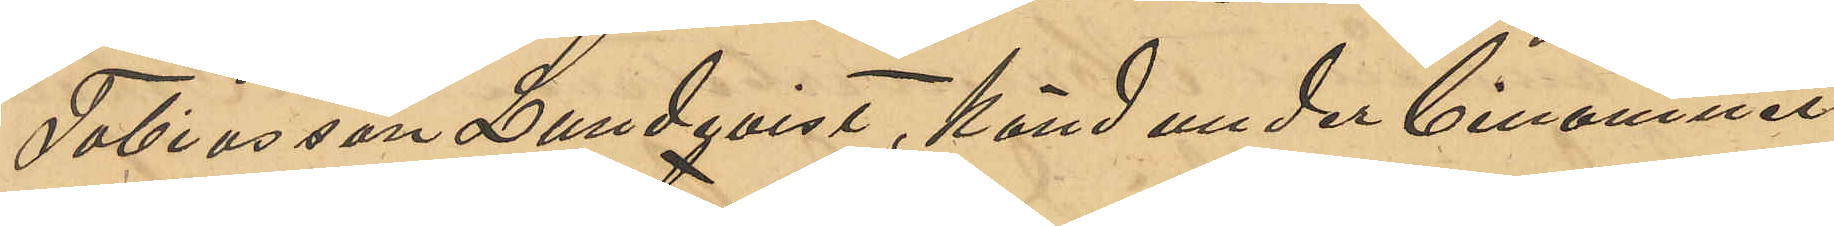Tobiasson Lundqvist, känd under binamnet
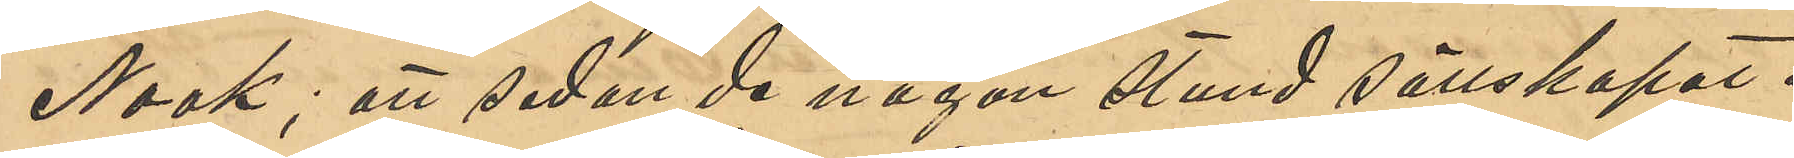Noak; att sedan de någon stund sällskapat i
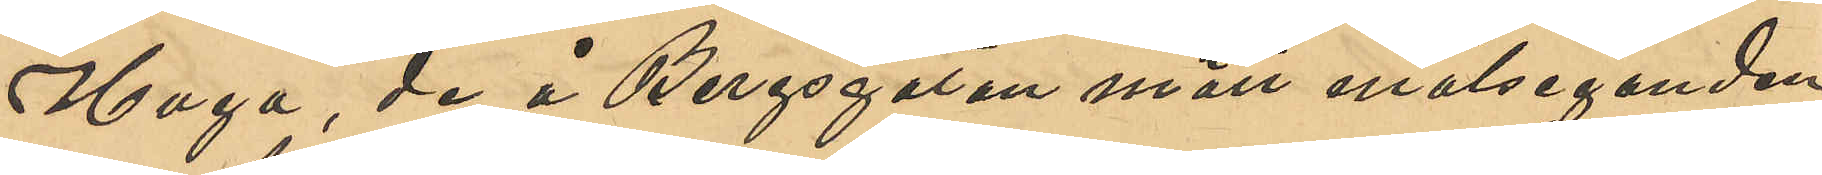Haga, de å Bergsgatan mött målseganden,
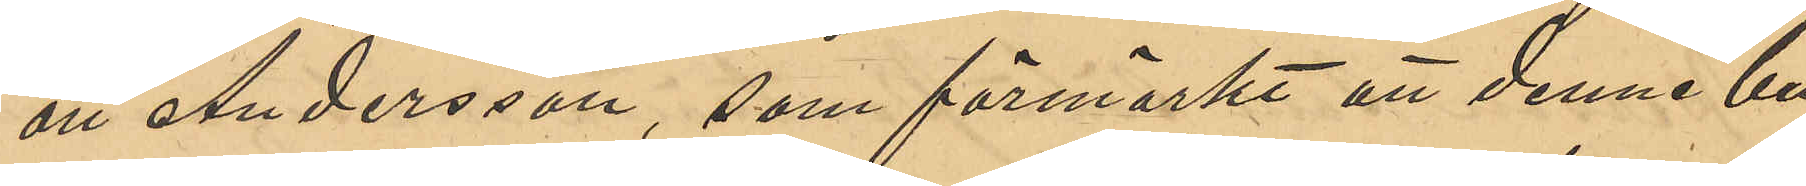att Andersson, som förmärkt att denne bu¬
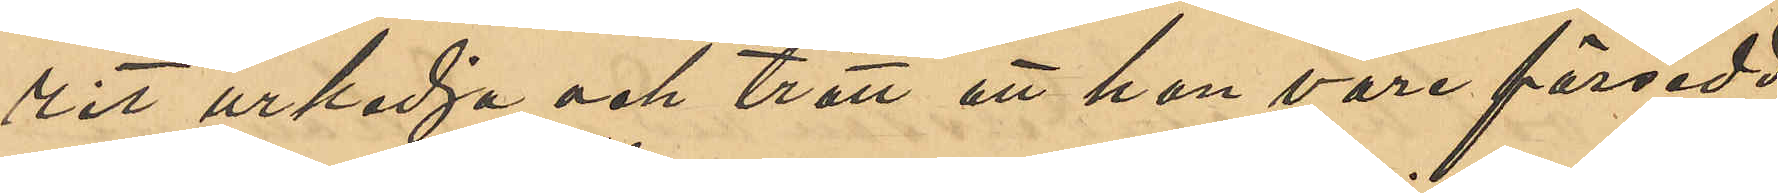rit urkedja och trott att han vore försedd
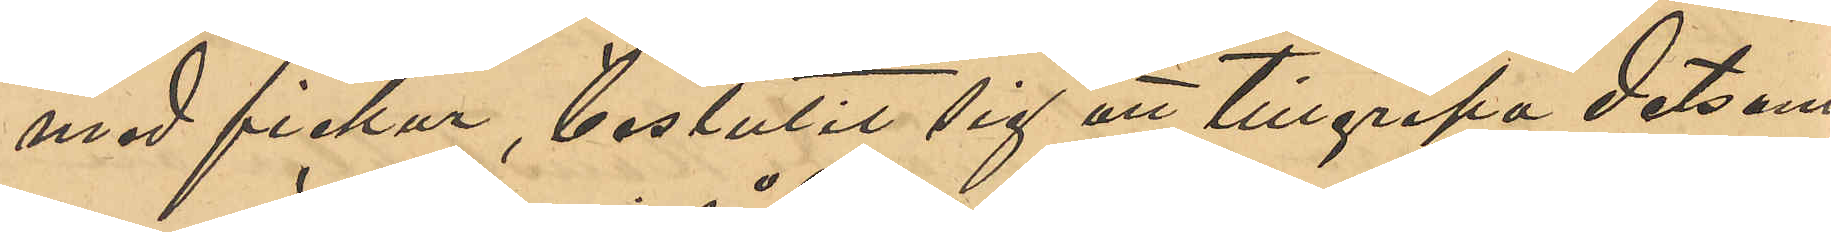med fickur, beslutit sig att tillgripa detsam¬
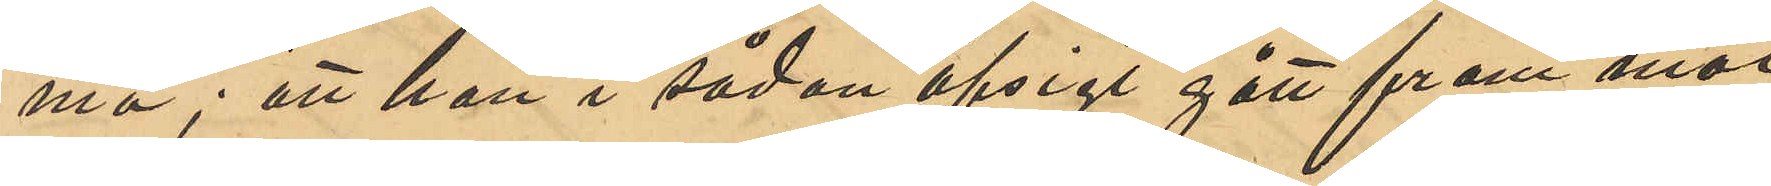ma; att han i sådan afsigt gått fram mot
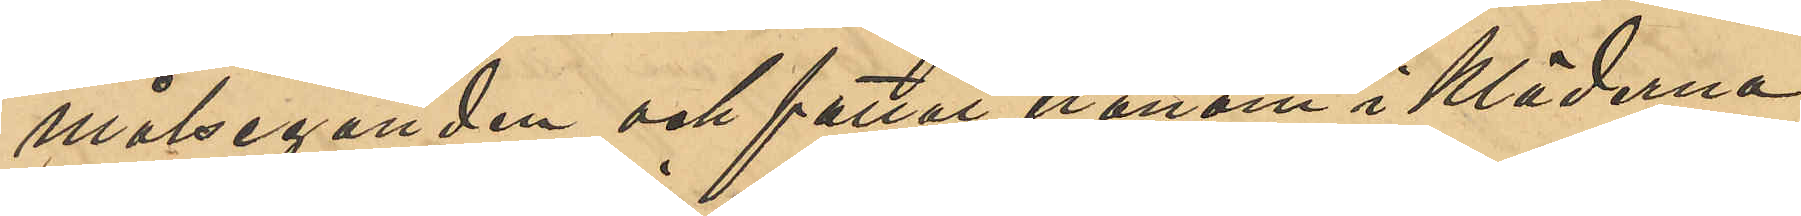målseganden och fattat honom i kläderna;
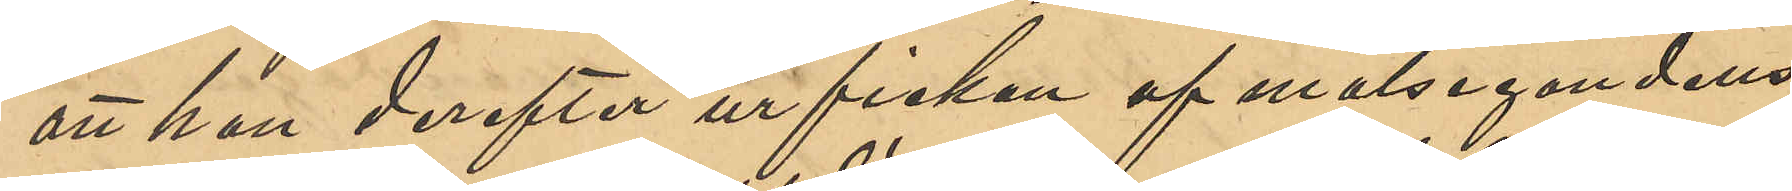att han derefter ur fickan af målsegandens
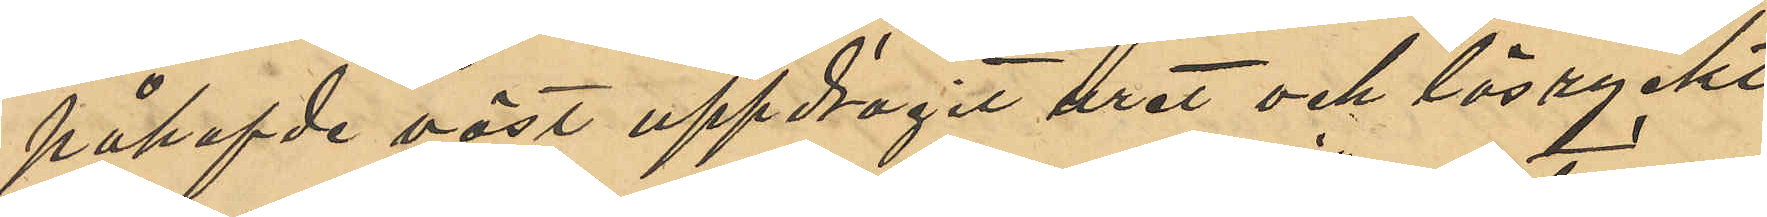påhafvde väst uppdragit uret och lösryckt
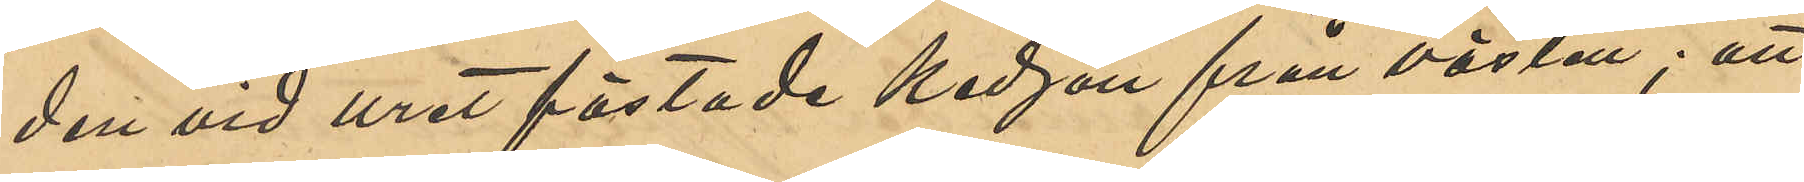den vid uret fästade kedjan från västen; att
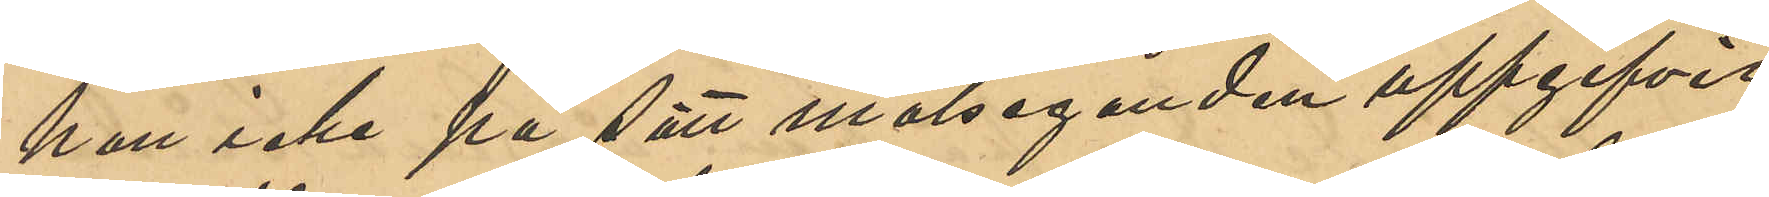han icke på sätt målseganden uppgifvit
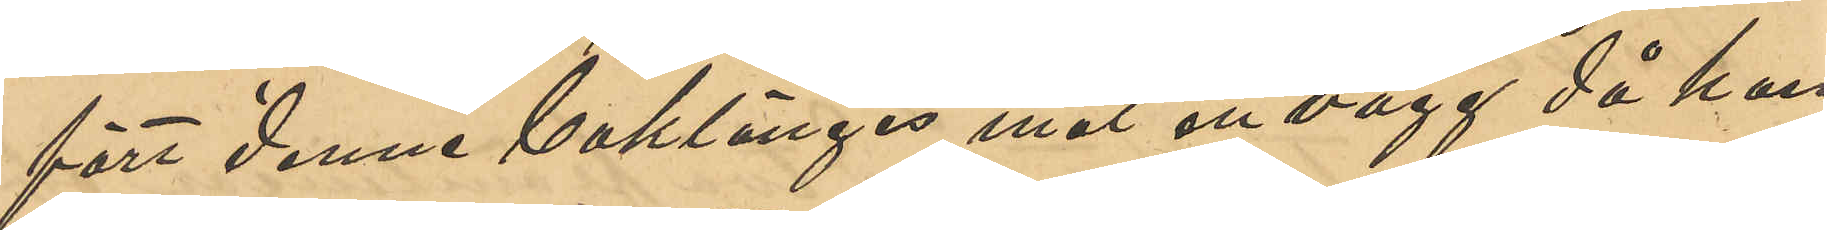fört denne baklänges mot en vägg då han
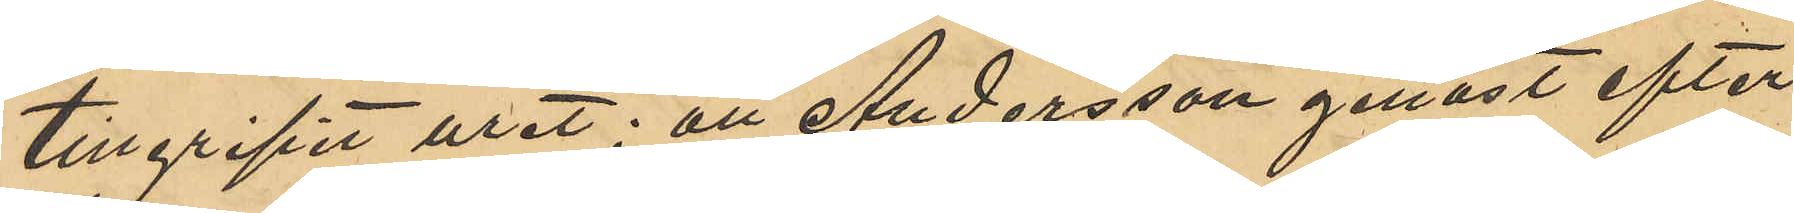tillgripit uret; att Andersson genast efter
